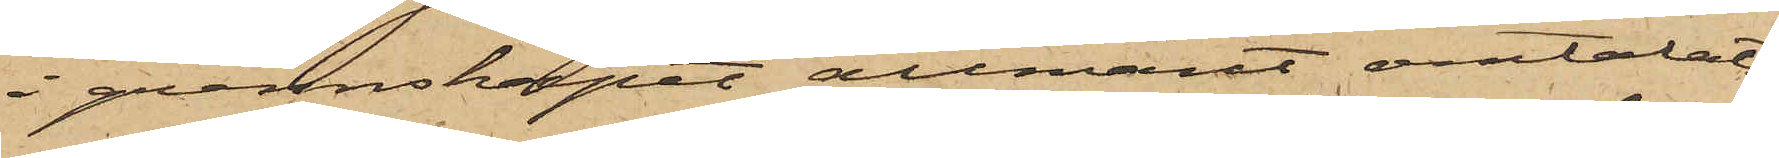i grannskapet allmänt omtalats
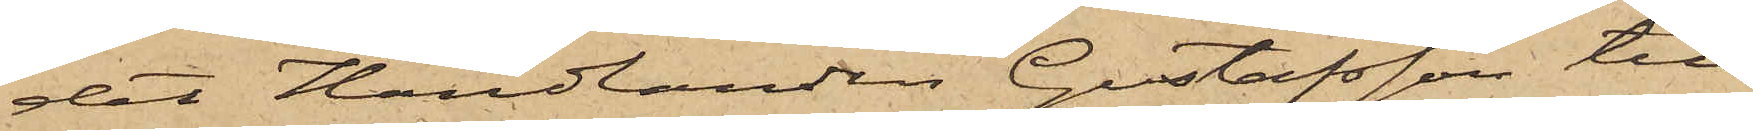det Handlanden Gustafsson till
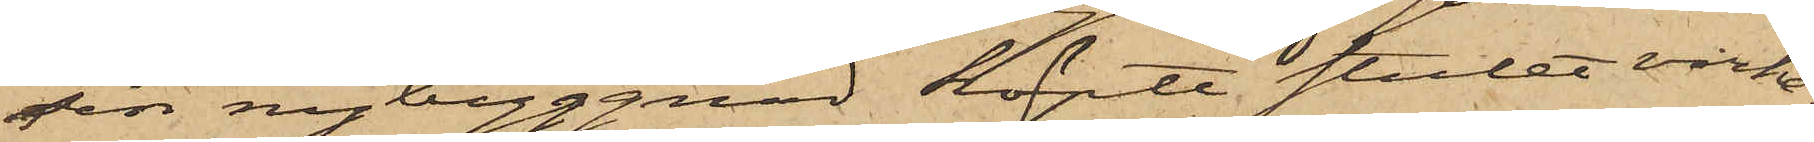sin nybyggnad köpte stulet virke;
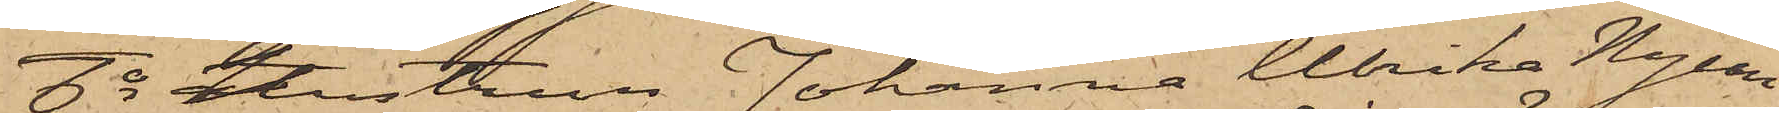6o hustrun Johanna Ulrika Nycan¬
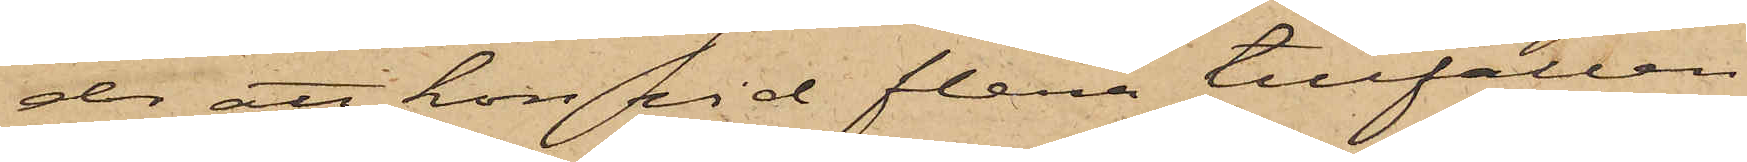der att hon vid flera tillfällen
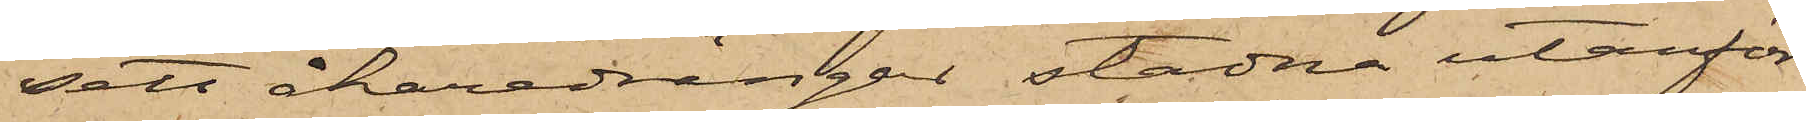sett åkaredrängar stadna utanför
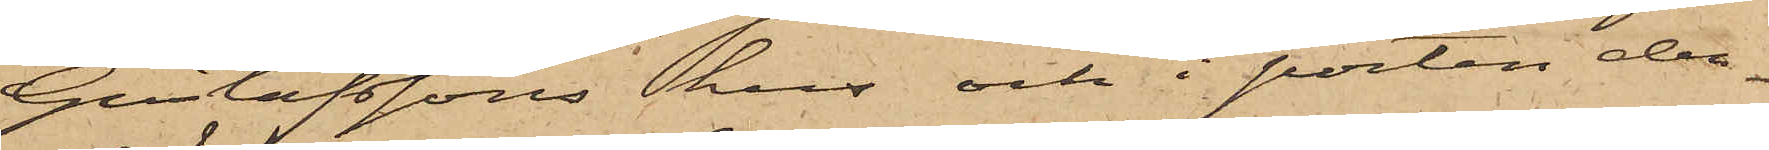Gustafssons hus och i porten den¬
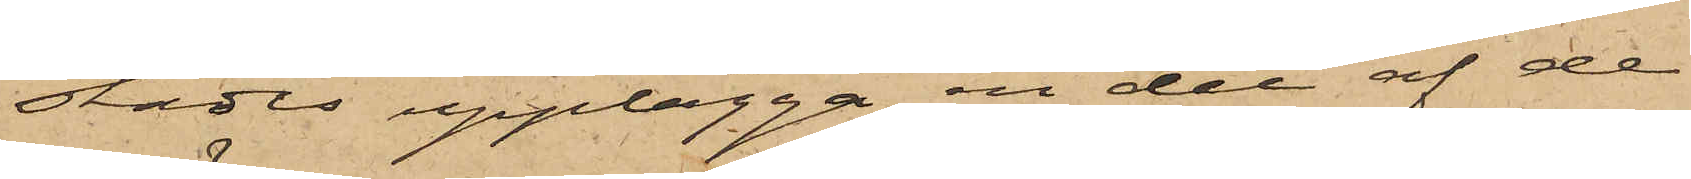städes upplägga en del af de
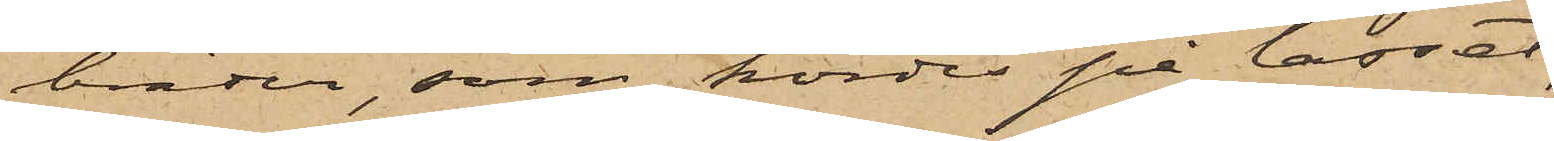bräder, som kördes på lasset;
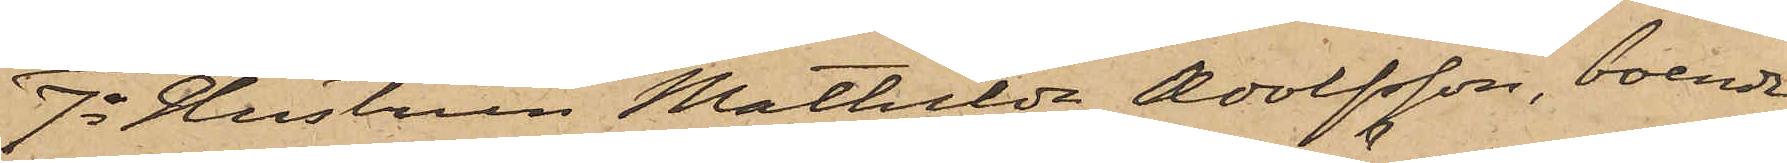7o Hustrun Mathilda Adolfsson, boende
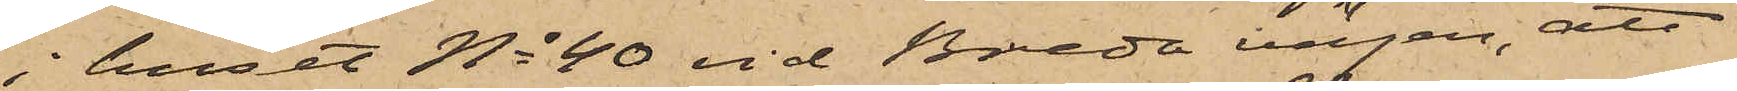i huset No 40 vid Breda vägen, att
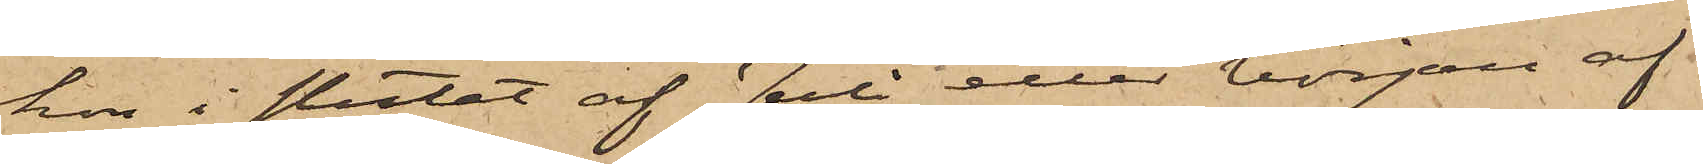hon i slutet af Juli eller början af
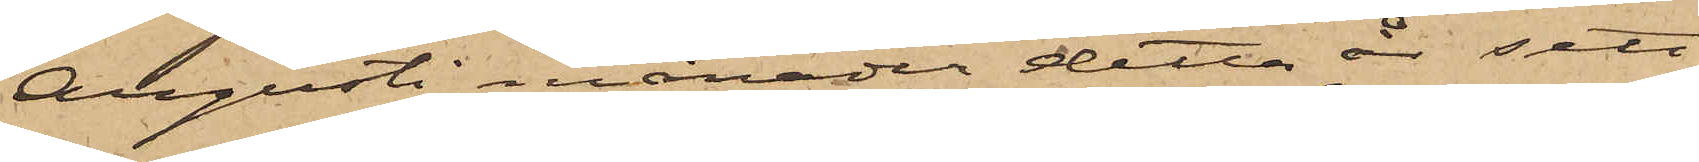Augusti månader detta år sett
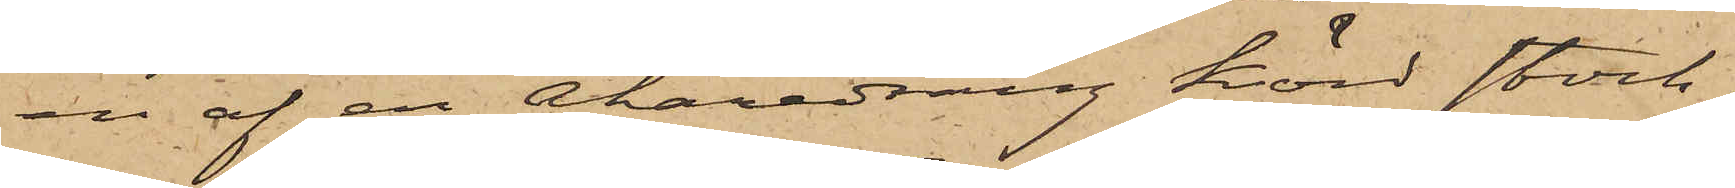en af en Åkaredräng körd stock¬
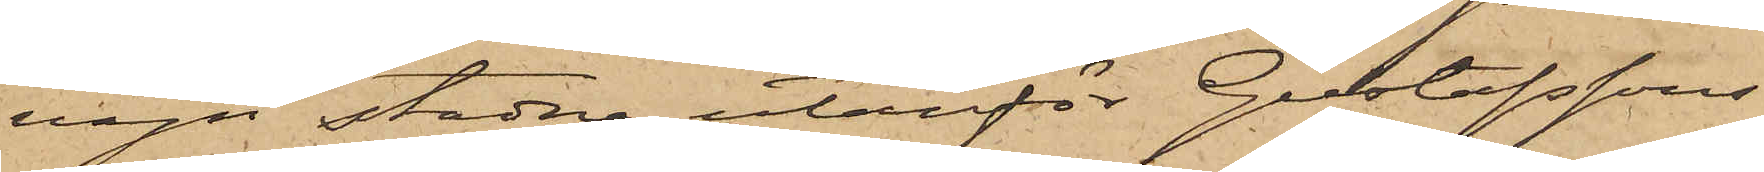vagn stadna utanför Gustafssons
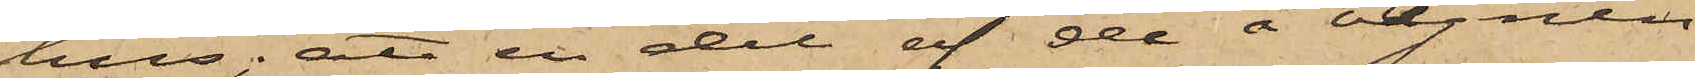hus; att en del af de å vagnen
